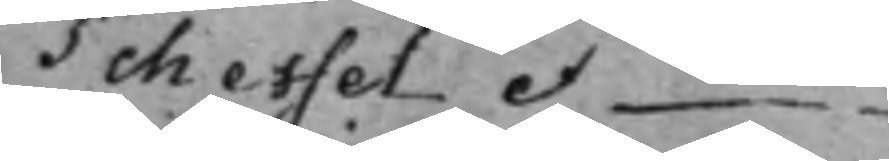Scheffel et —
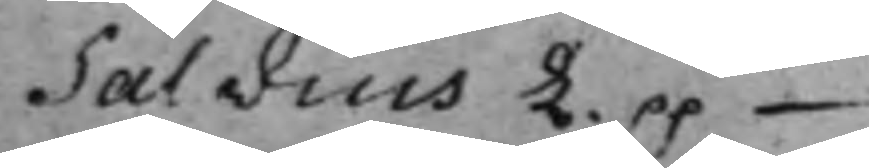Salvius L. pp —
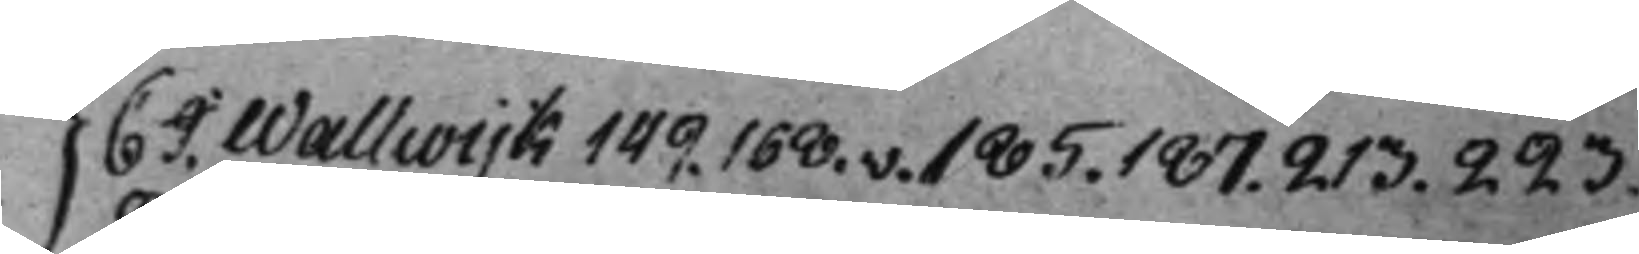} C J. Wallwijk 149. 168.v. 185. 187. 213. 223.
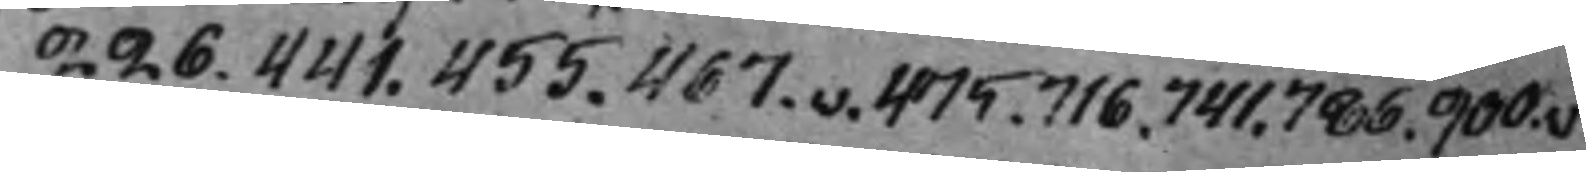226. 441. 455. 467.v. 475. 716. 741. 786. 900.v.
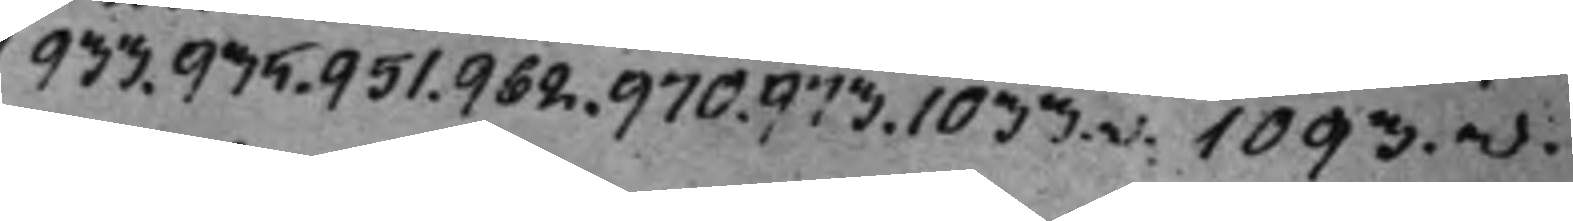933. 935. 951. 962. 970. 973. 1033.v. 1093.v.
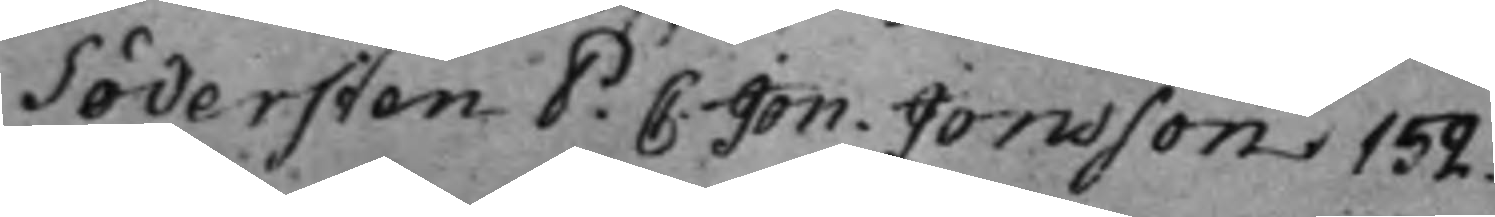Södersten P: C: Jon. Jonsson 152.
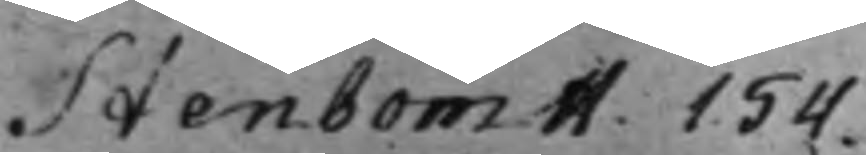Stenbom H. 154.
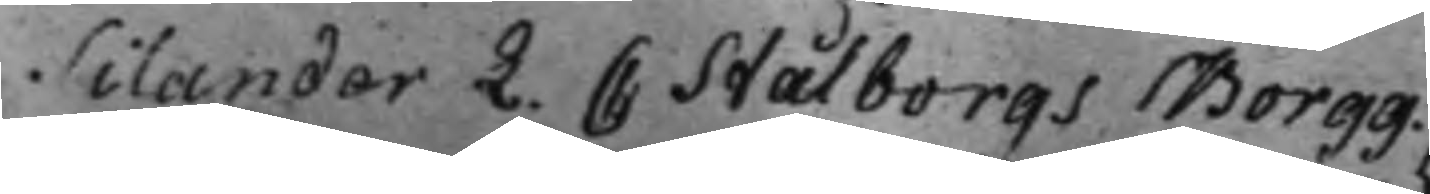Silander L. C Stålborgs Borgg.
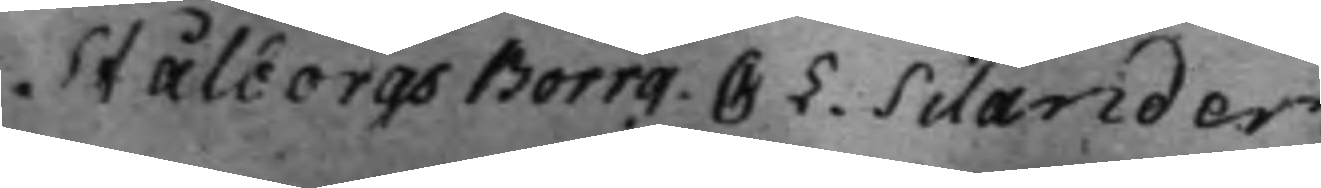Stålborgs Borrg. C L. Silander
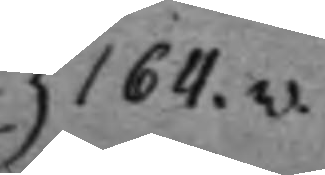} 164.v.
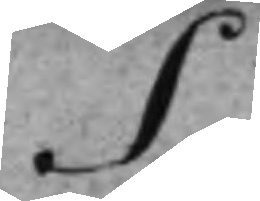S.
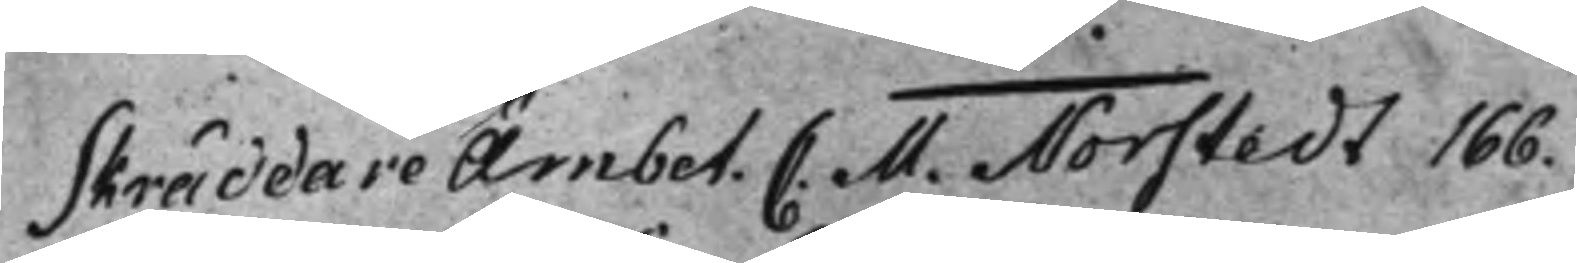Skräddare Ämbet. C. M. Norstedt 166.
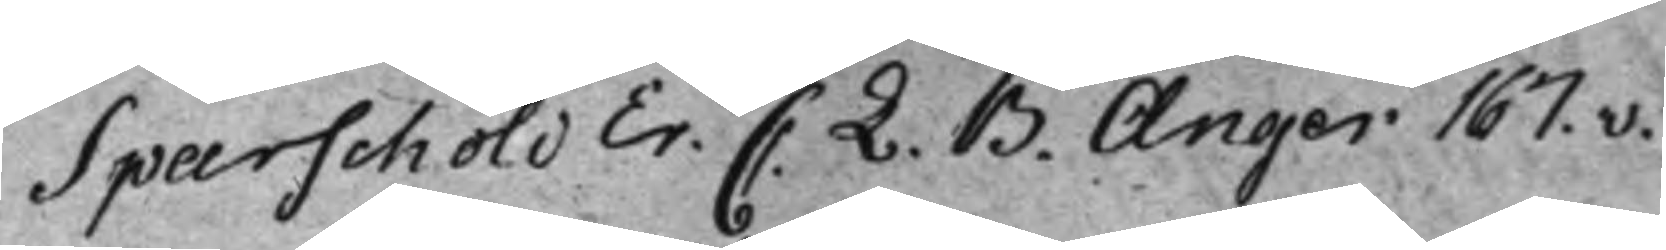Sparschöld Er. C. L. B. Anger 167.v.
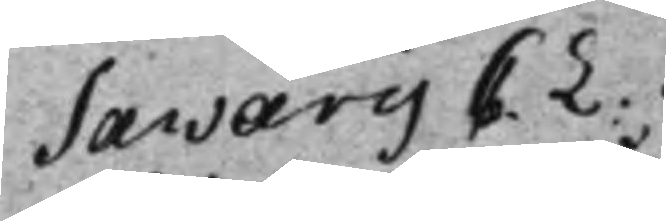Savarij C. L.
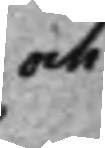och
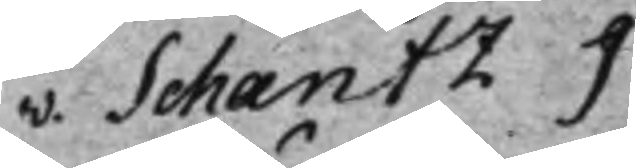v. Schantz J.
